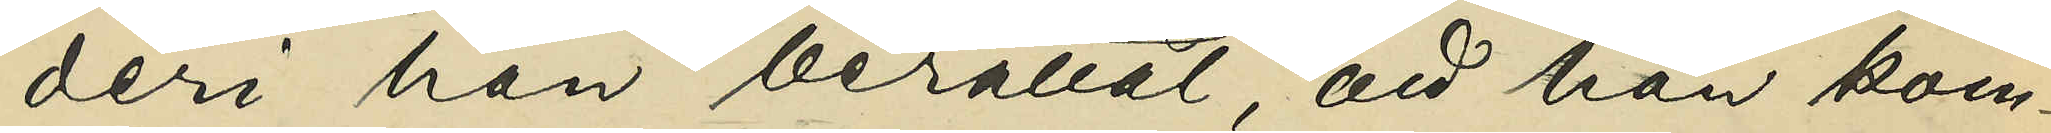deri han berättat, att han kom¬
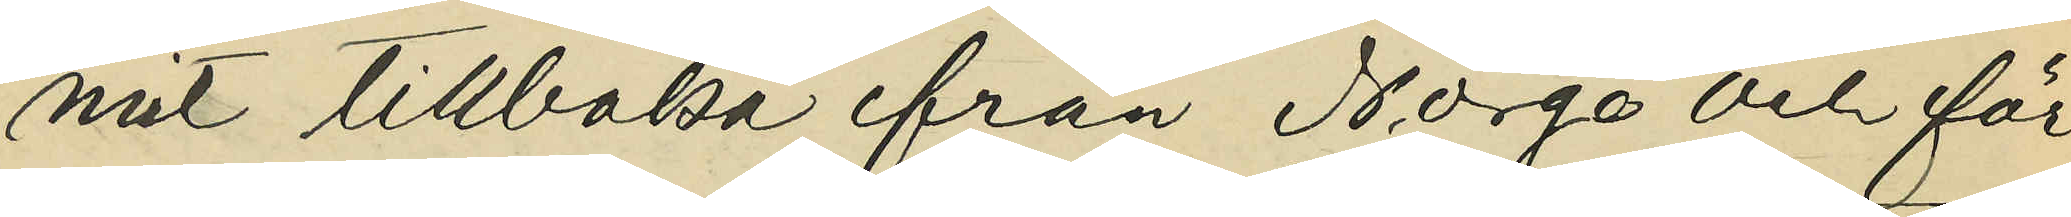mit tillbaka ifrån Norge och för
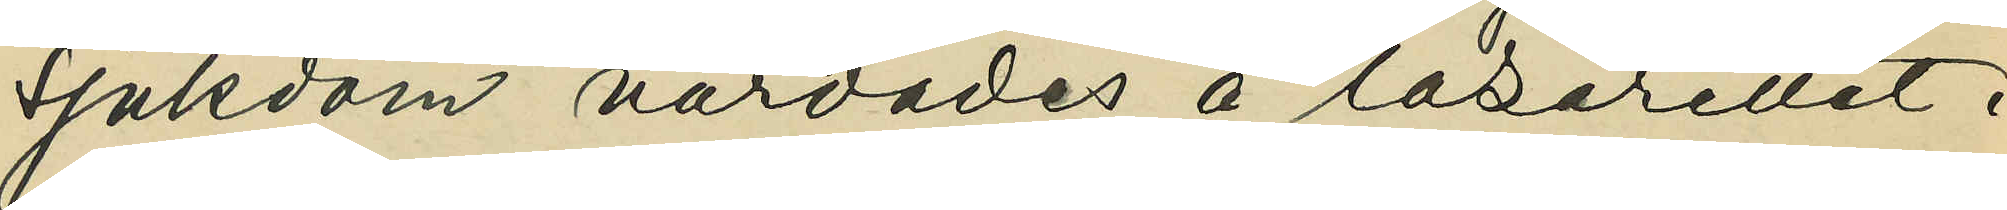sjukdom vårdades å lasarettet i
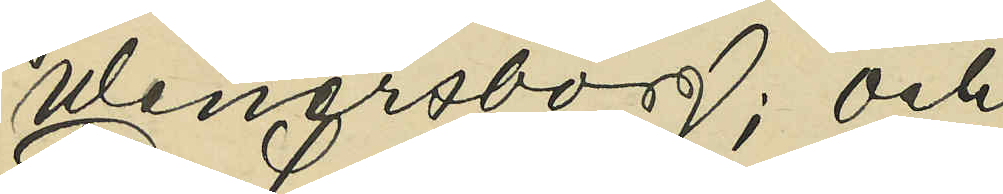Wenersborg; och
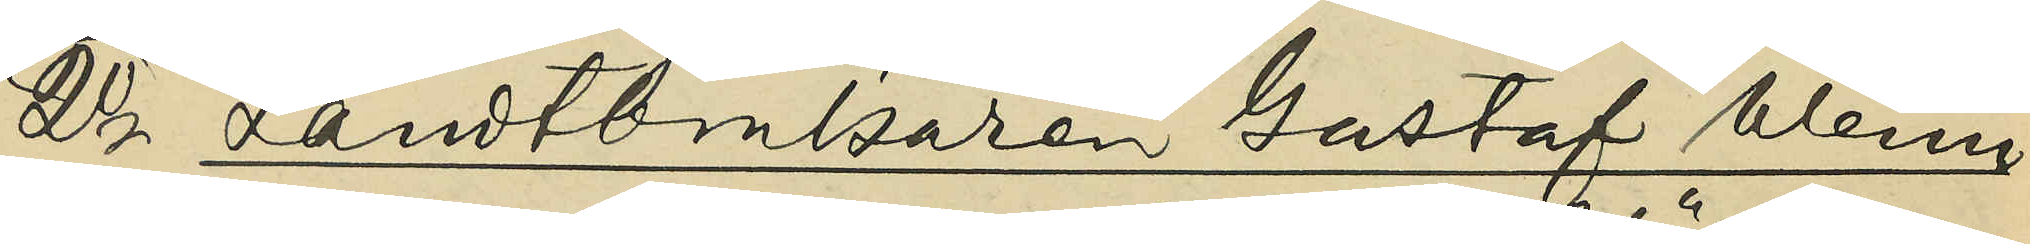2o Landtbrukaren Gustaf Wenn¬
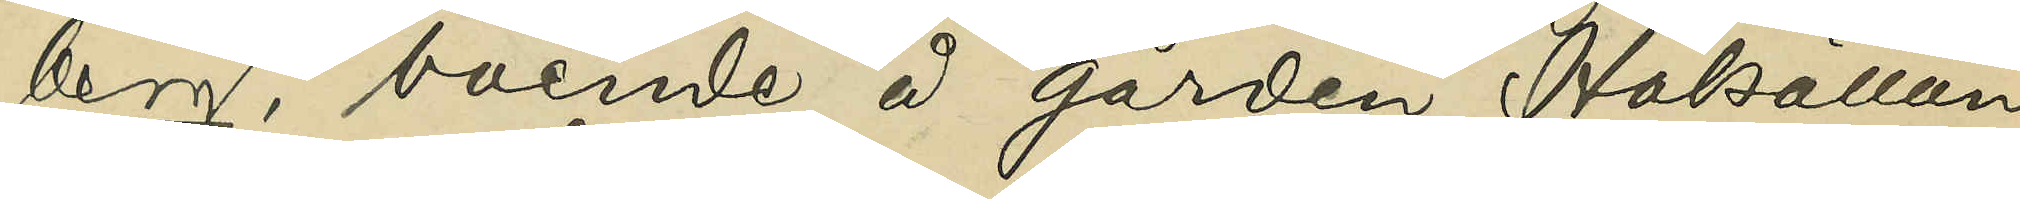berg, boende å gården Hökällan
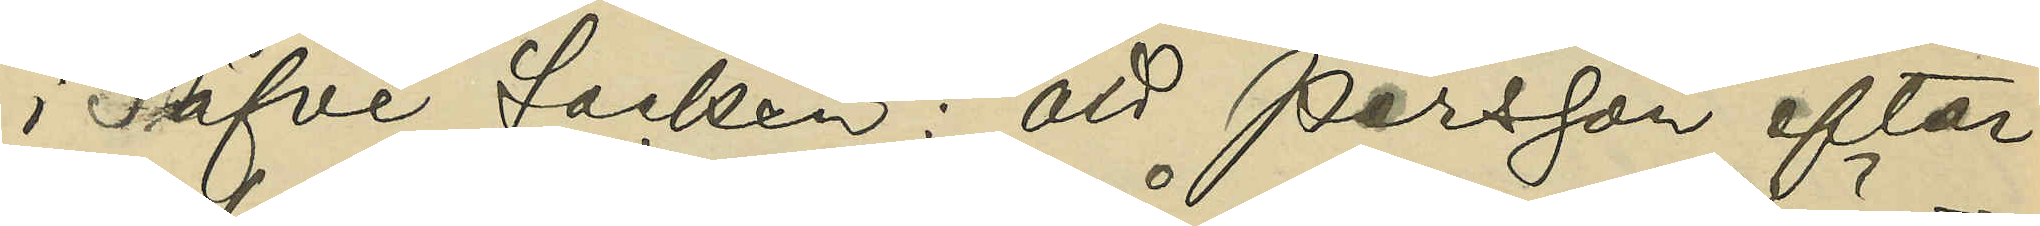i Säfve socken: att Persson efter
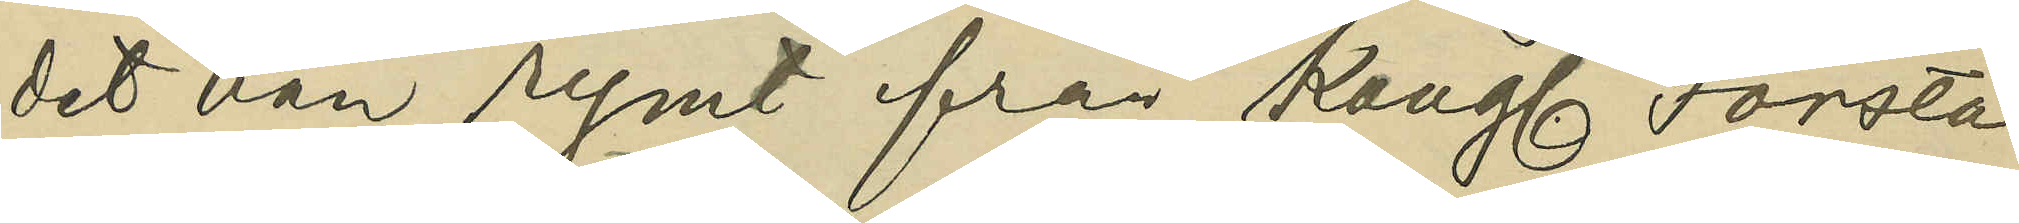det han rymt från Kongl. Första
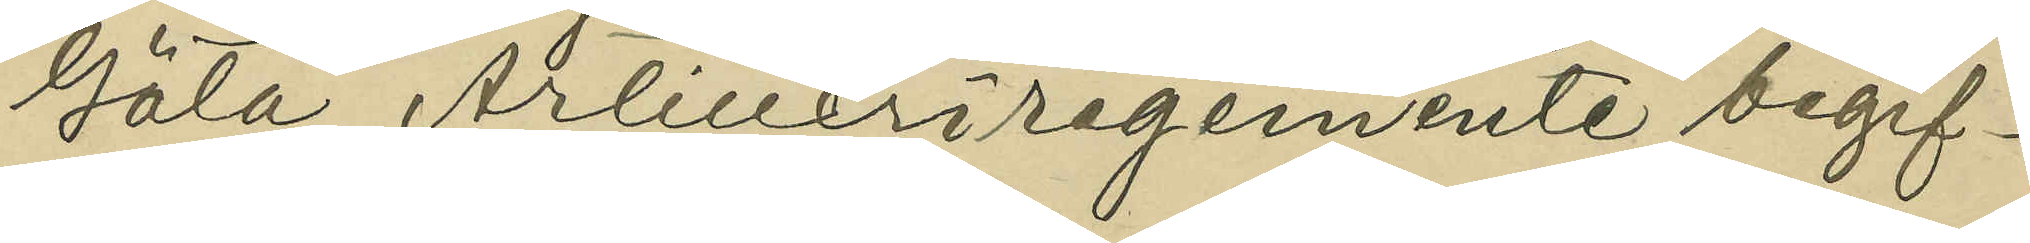Göta Artilleriregemente begif¬
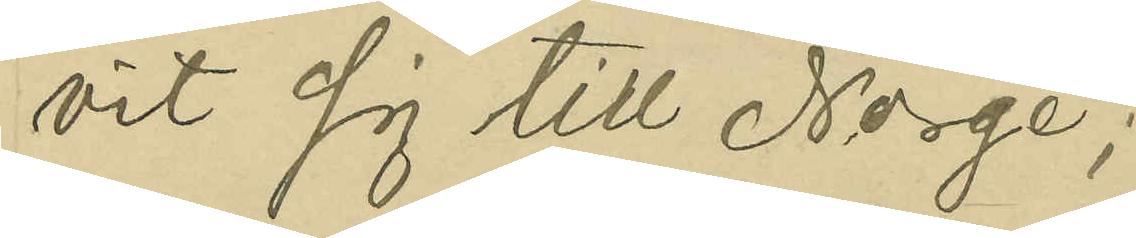vit sig till Norge;
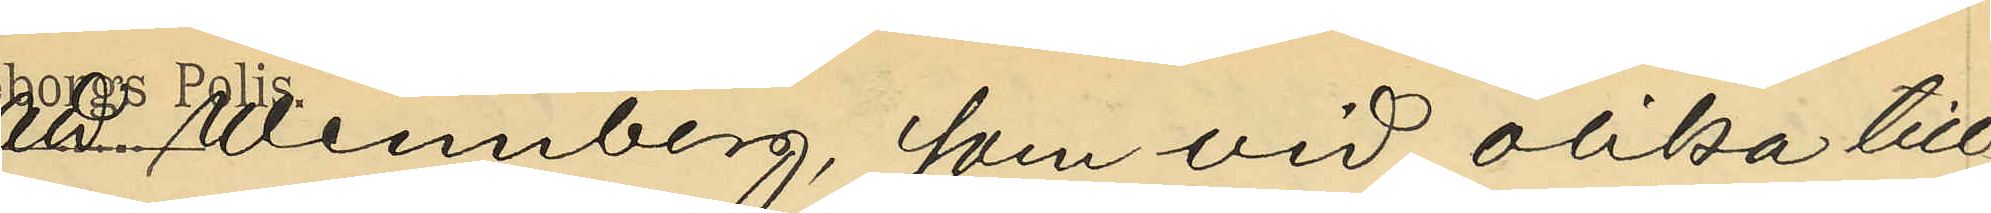att Wennberg, som vid olika till¬
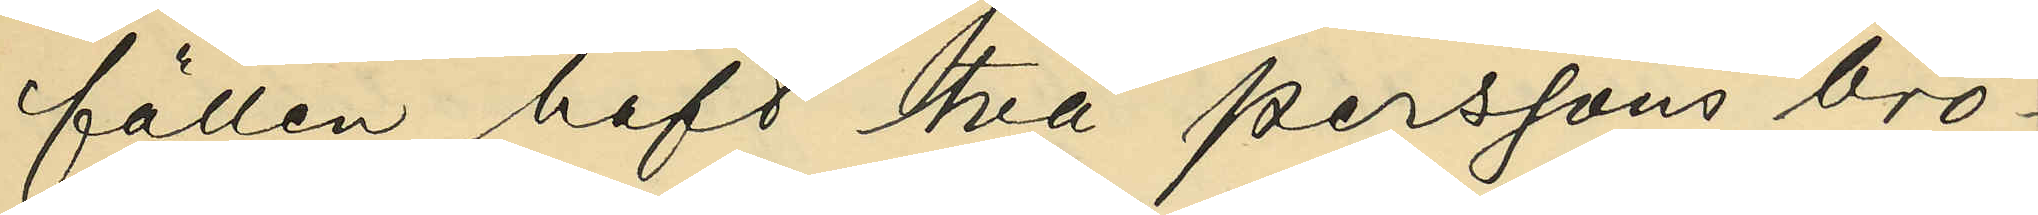fällen haft två Perssons brö¬
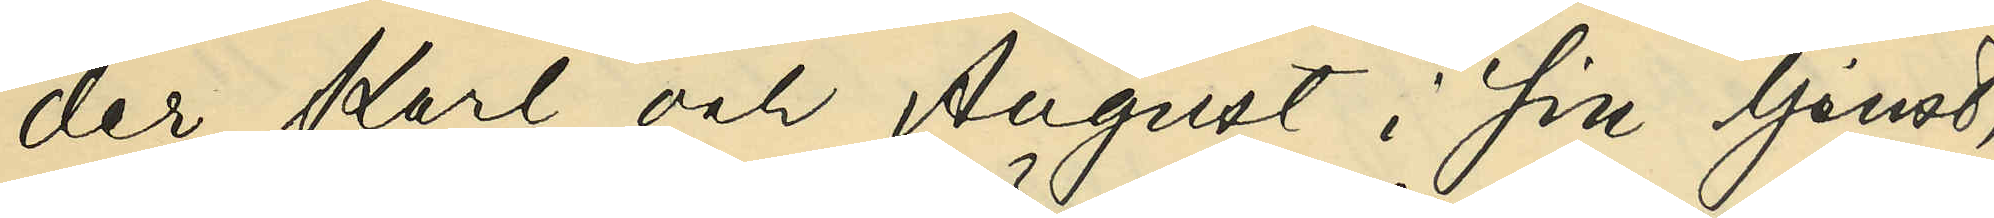der Karl och August i sin tjenst,
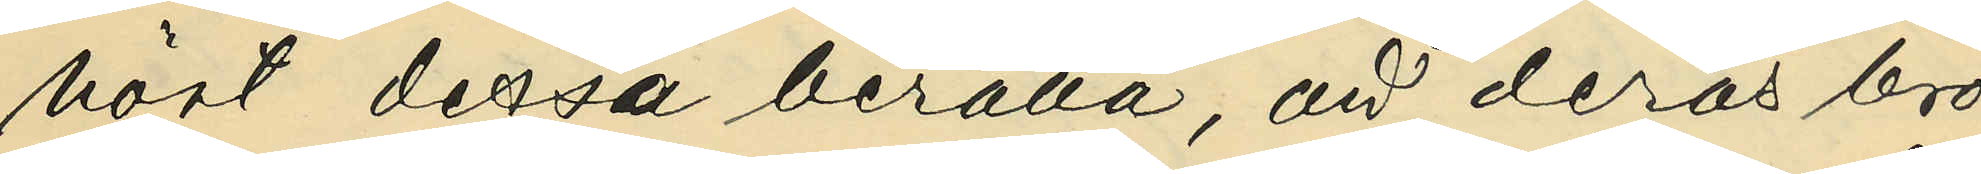hört dessa berätta, att deras bro¬
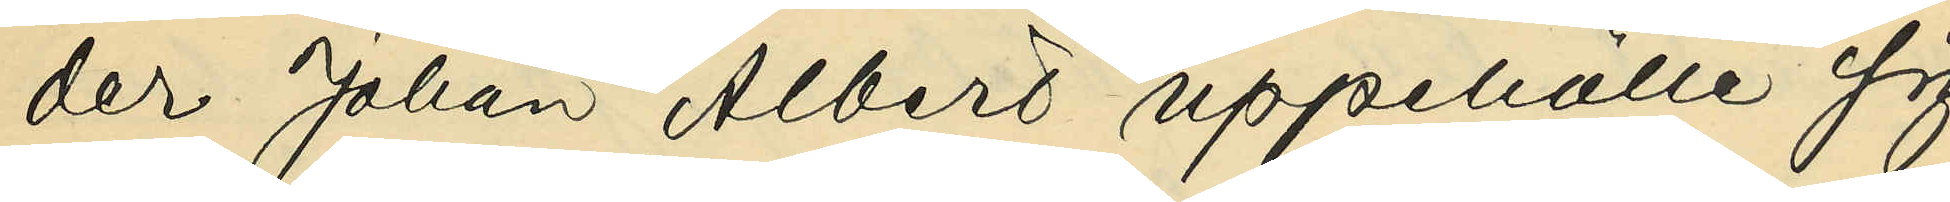der Johan Albert uppehölle sig
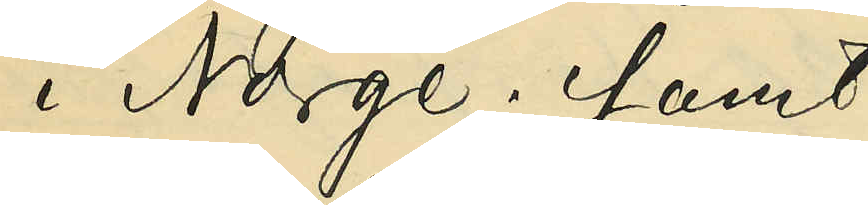i Norge; samt
